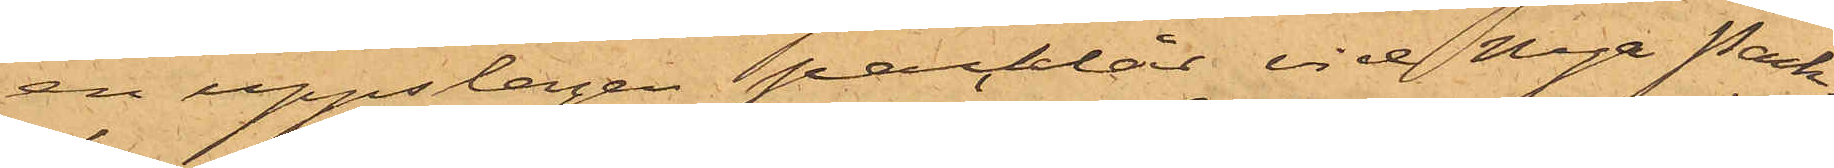en uppslagen packlår vid Nya Pack¬
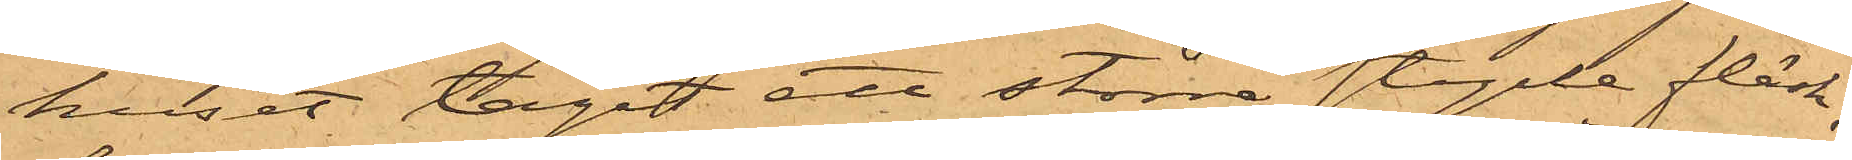huset tagit ett större stycke fläsk,
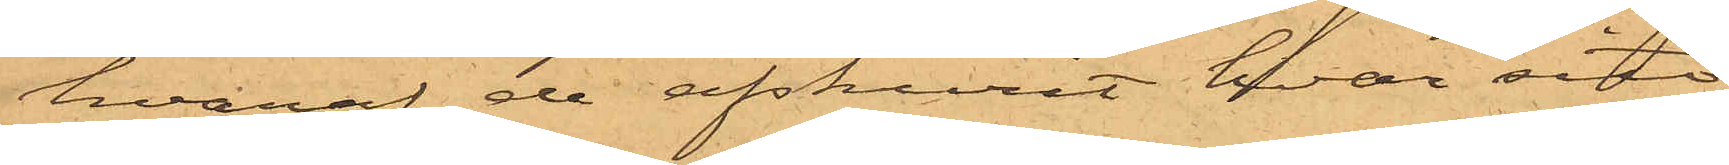hvaraf de afskurit hvar sitt
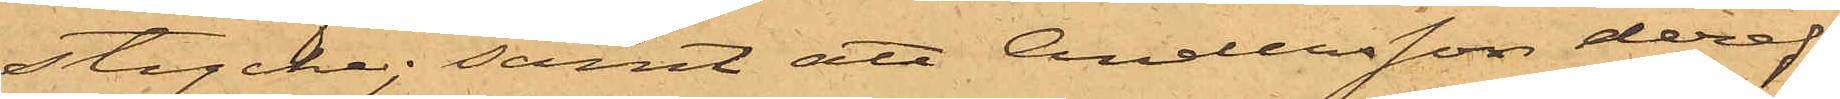stycke; samt att Andersson deref¬
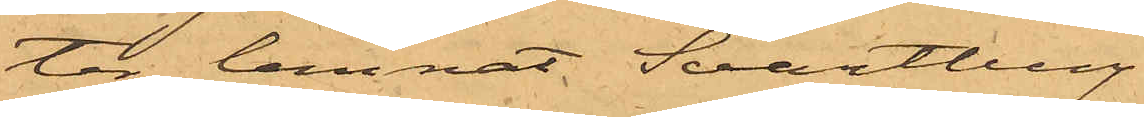ter lemnat Svartberg
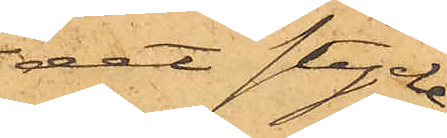det stycke
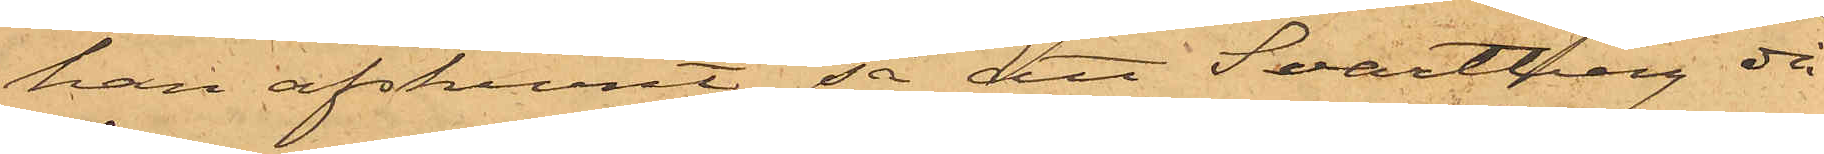han afskurit, så att Svartberg då
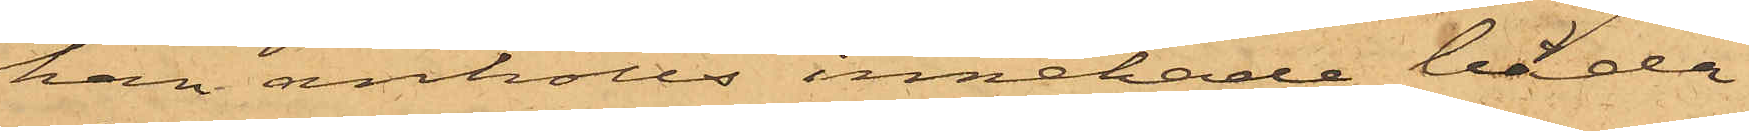han anhölls innehade båda
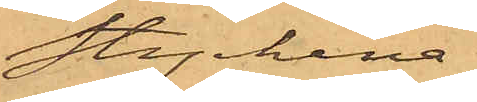styckena.
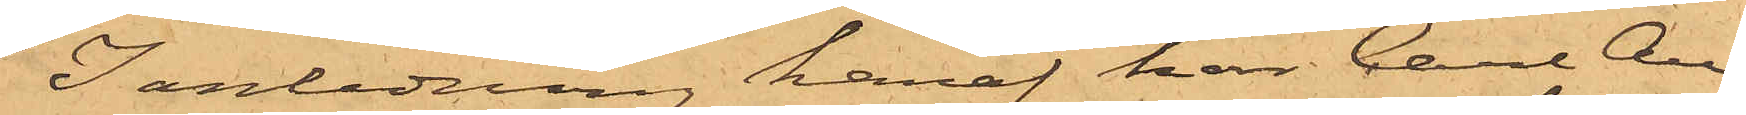I anledning häraf har Carl An¬
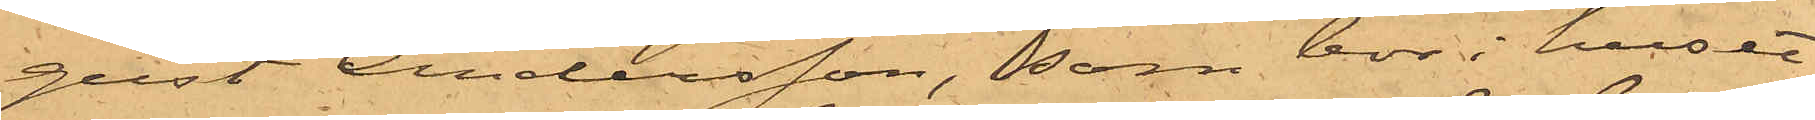gust Andersson, som bor i huset
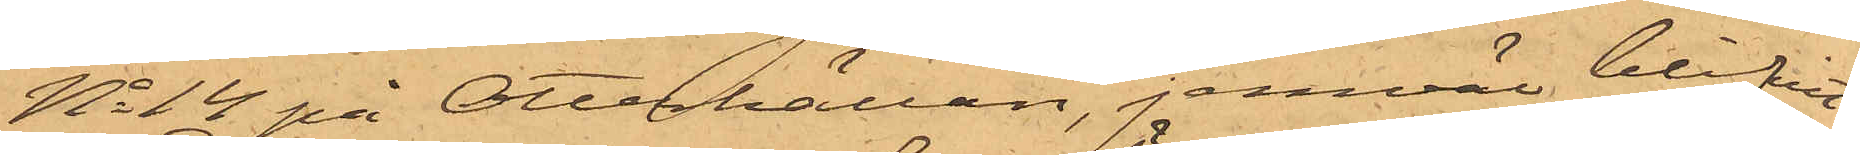No 14 på Otterhällan, jemväl blifvit
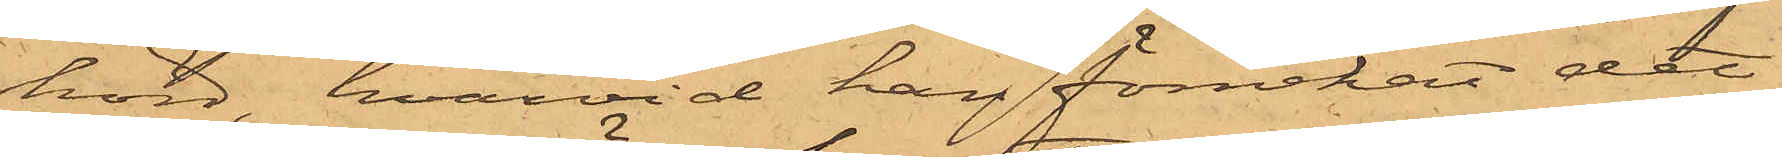hörd, hvarvid han förnekat det
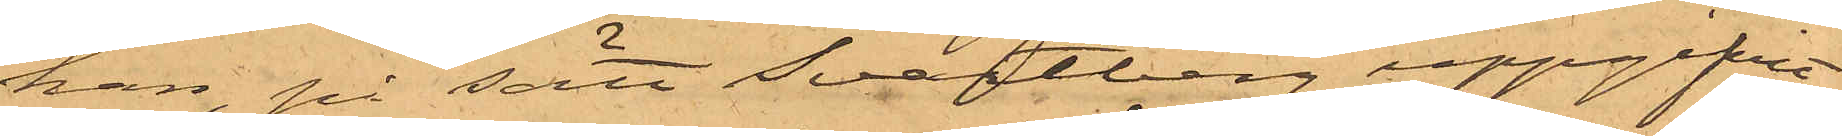han, på sätt Svartberg uppgifvit
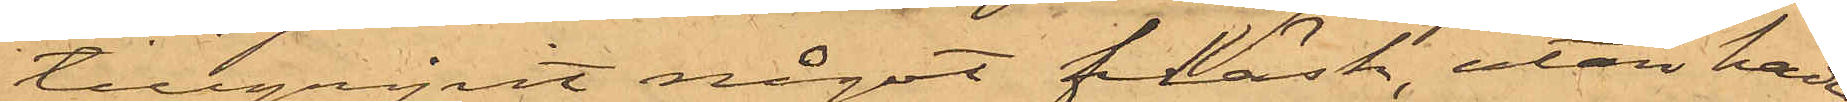tillgripit något fläsk, utan hade
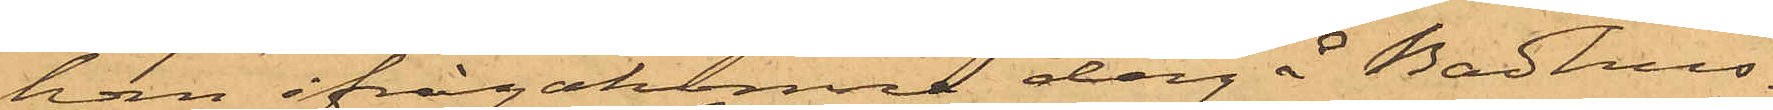han ifrågakomne dag å Badhus¬
